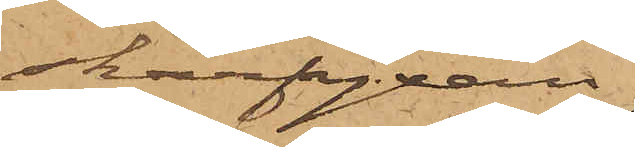skarfyxan
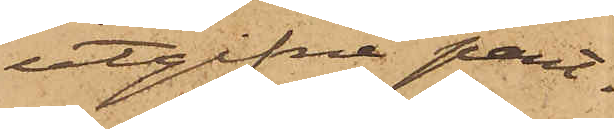utgifne pant¬
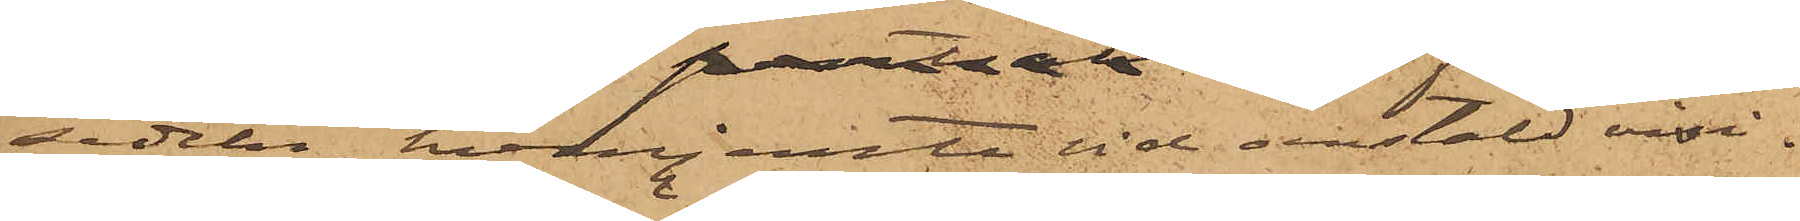sedeln, hvarjemte vid anstäld visi¬
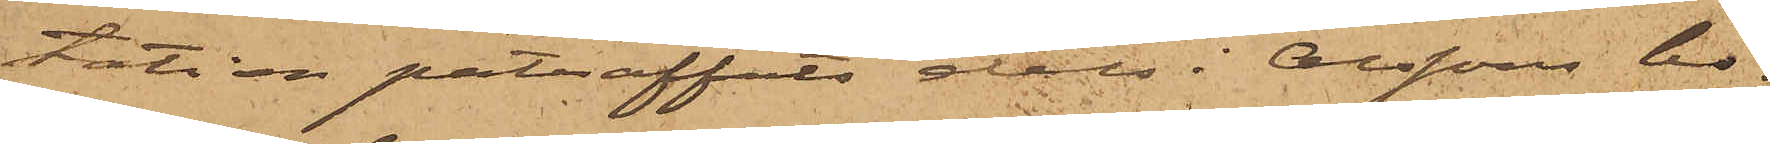tation påträffats dels i Olssons bo¬
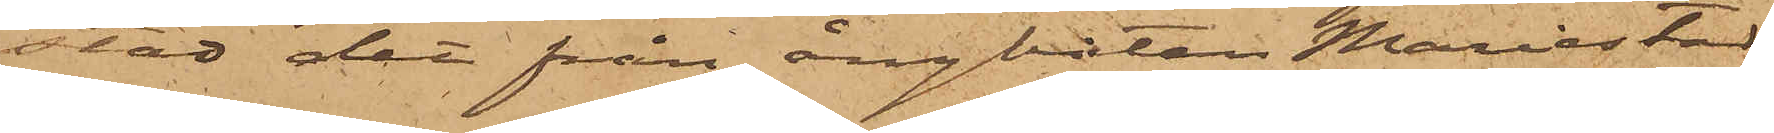stad det från ångbåten Mariestad
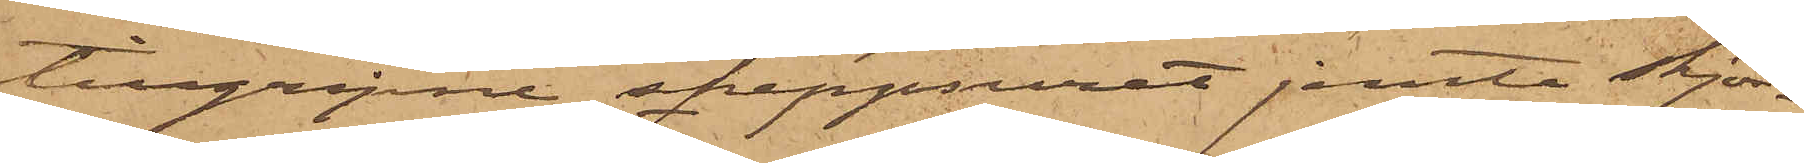tillgripne skeppsuret jemte skjor¬
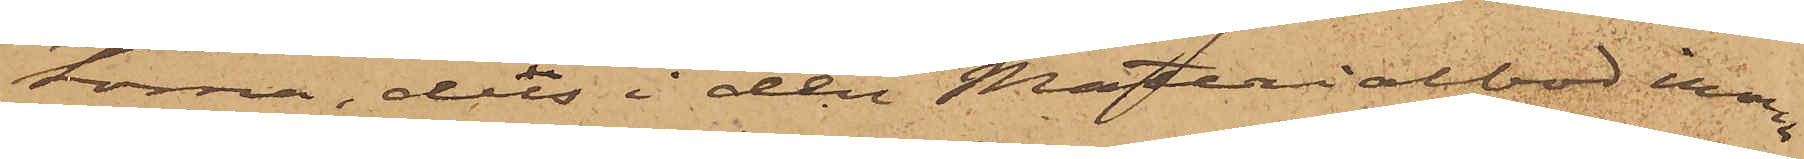torna, dels i den Materialbod inom
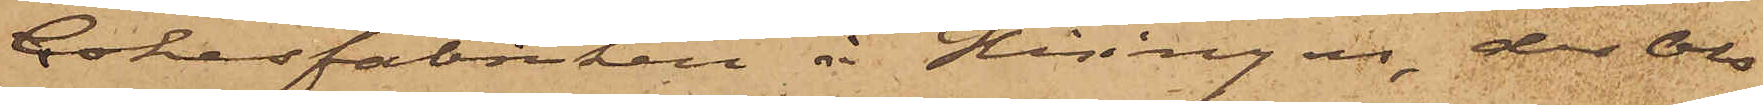Cokesfabriken å Hisingen, der Ols¬
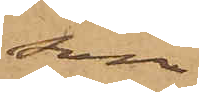son
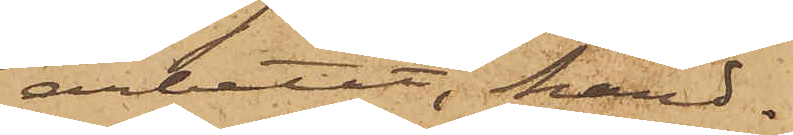arbetat, hand¬
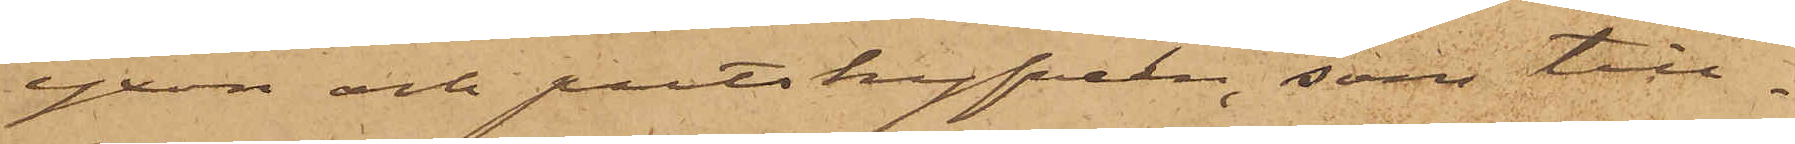yxan och putshyfveln, som till¬
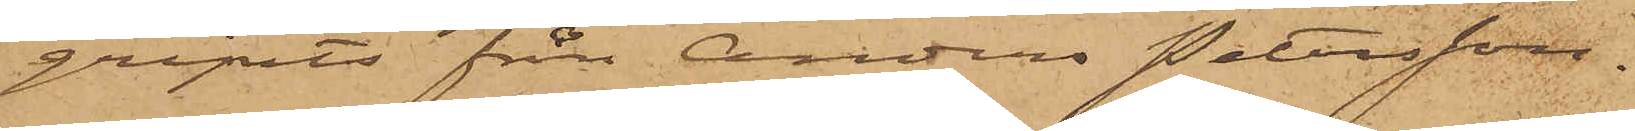gripits från Anders Petersson.
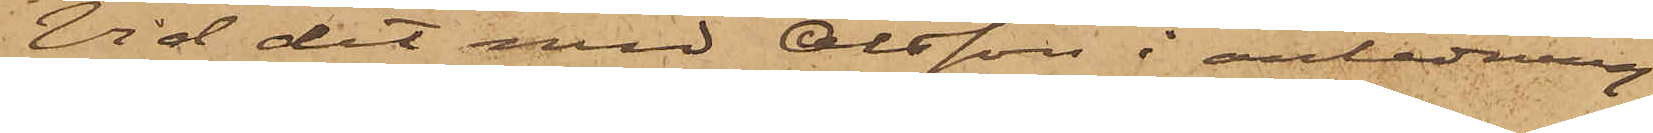Vid det med Olsson i anledning
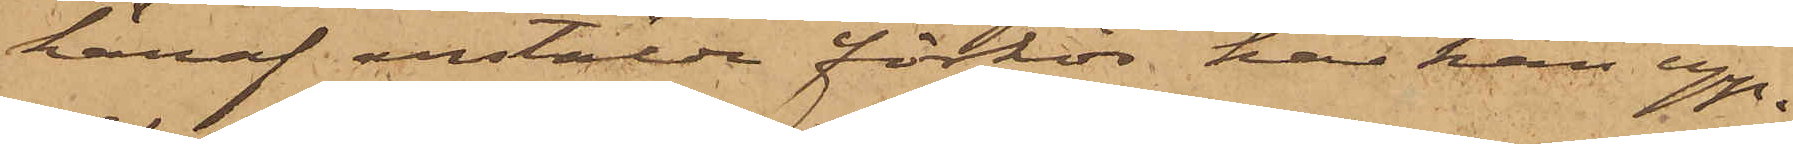häraf anstälde förhör har han upp¬
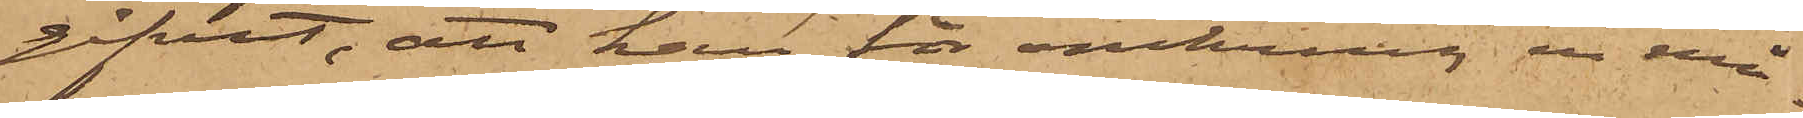gifvit, att han för omkring en må¬
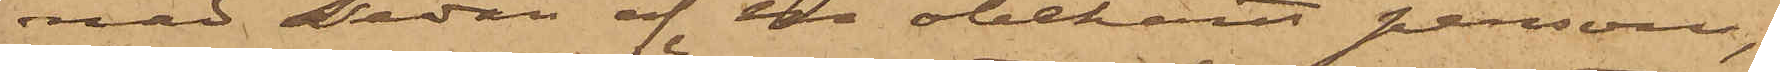nad sedan af en obekant person,
